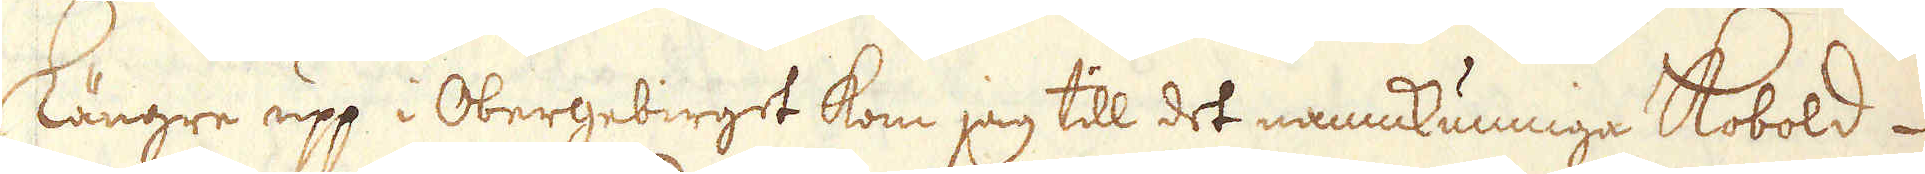Längre upp i Obergebirget kom jag till det namnkunniga Kobold-
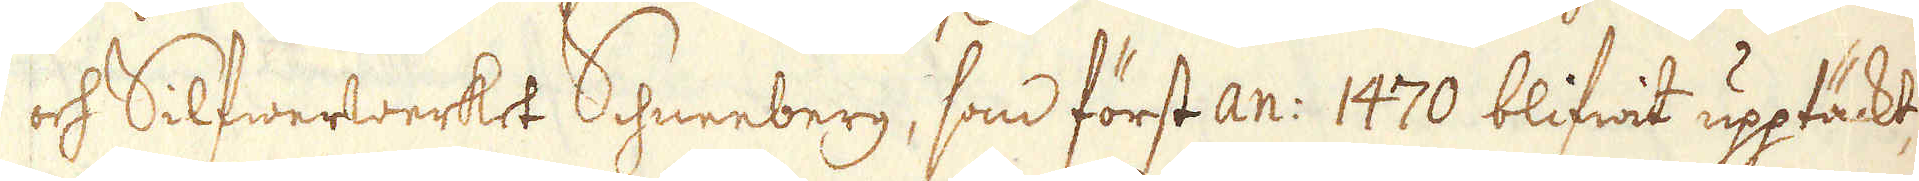och Silfwerwerket Schneeberg, som först An: 1470 blifwit upptäckt,
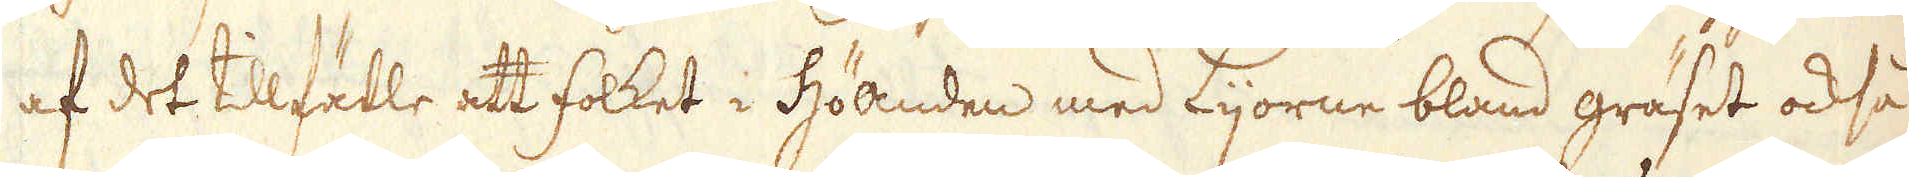af det tilfälle att folket i Höanden med Lijorne bland gräset också
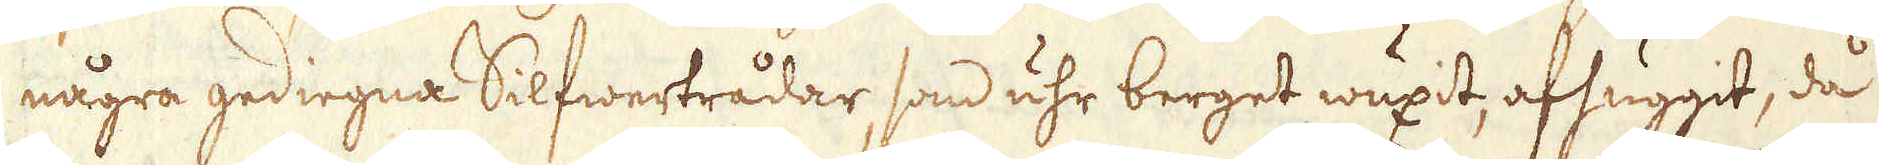några gediegna Silfwertrådar, som uhr berget wuxit, afhuggit, då
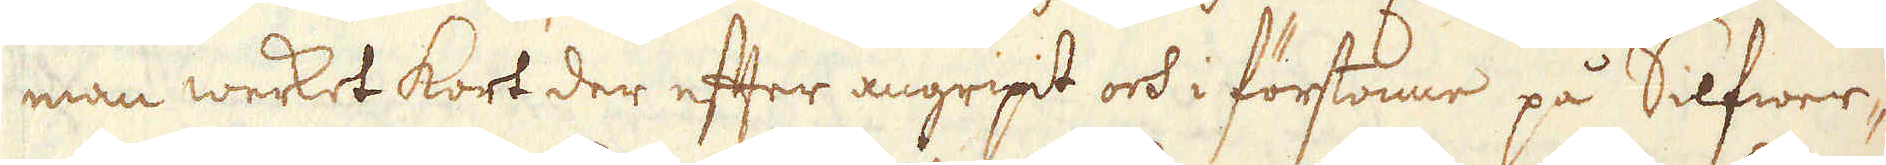man werket kort der efter angripit och i förstonne på Silfwer-
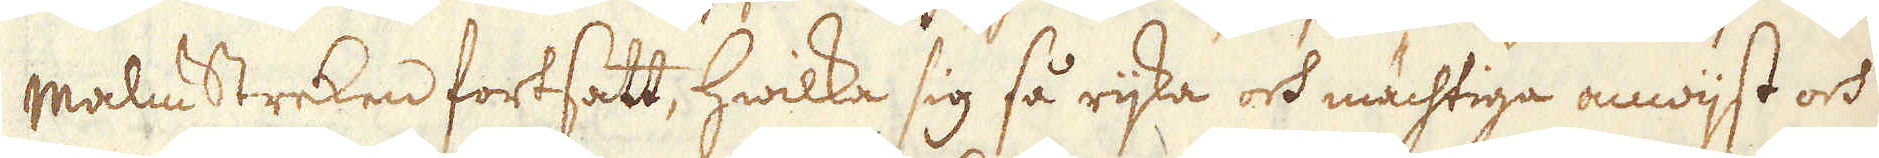malm Streken fortsatt, hwilka sig så rijka och mächtiga anwijst och
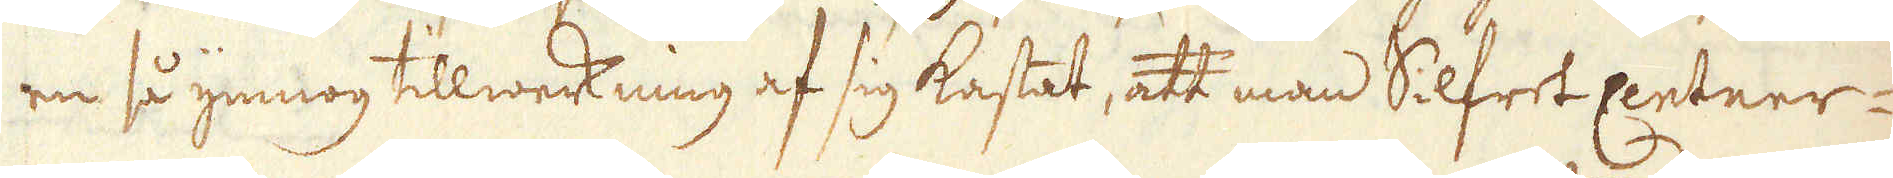en så ymnog tillwerkning af sig kastat, att man Silfret Centner-
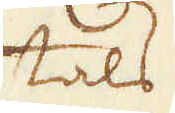tals
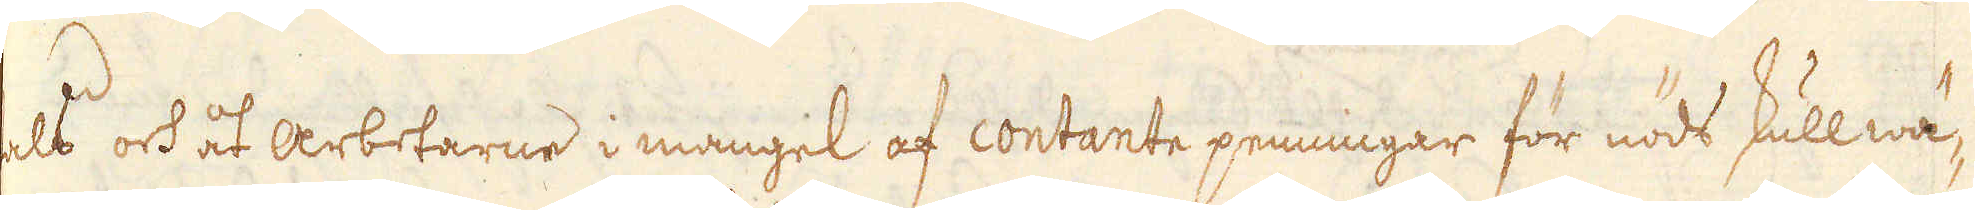tals och åt arbetarne i mangel af contante penningar för nöds skull wä-
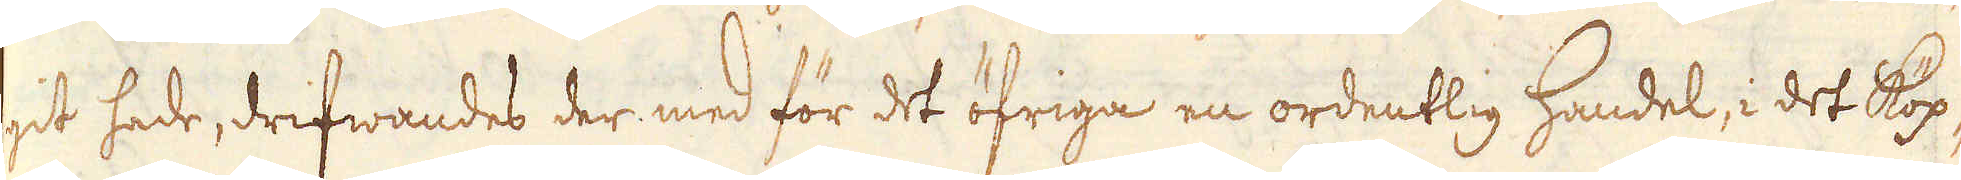git hade, drifwandes der med för det öfriga en ordentlig handel, i det Köp-
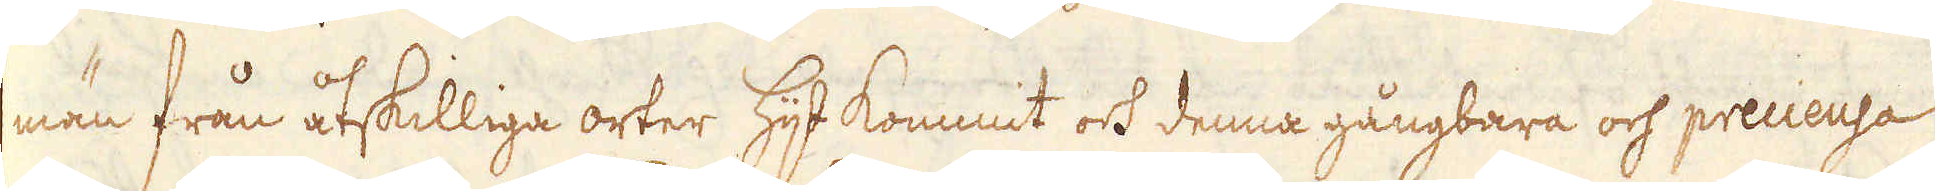män från åtskilliga orter hijt kommit ock denna gångbara och precieusa
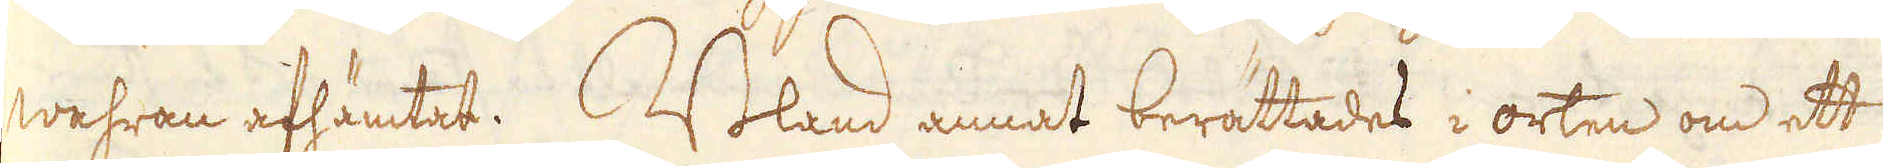wahran afhämtat. Bland annat berättades i orten om ett
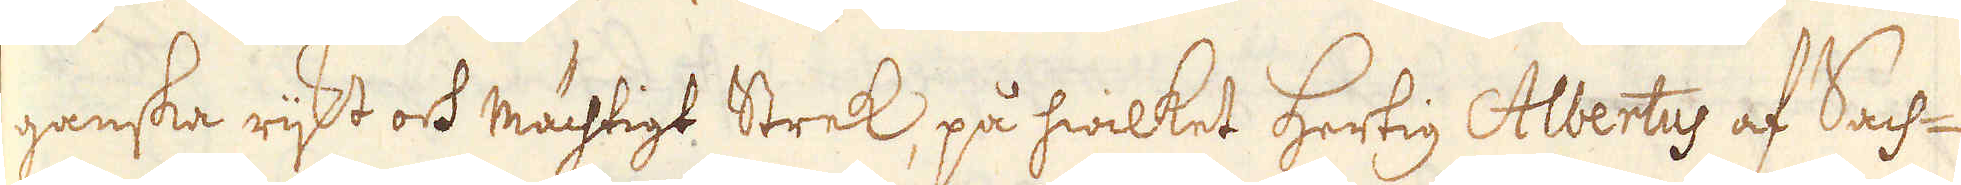ganska rijkt och mächtigt Strek, på hwilket Hertig Albertus af Sach-
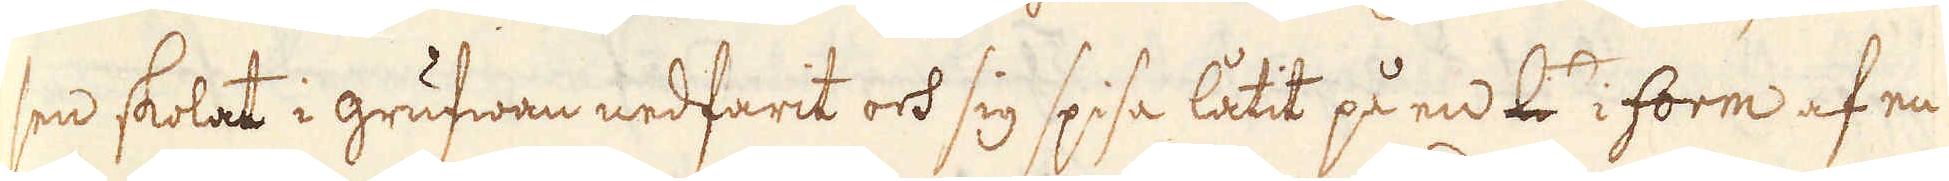sen skolat i grufwan nedfarit och sig spisa låtit på en l i form af en
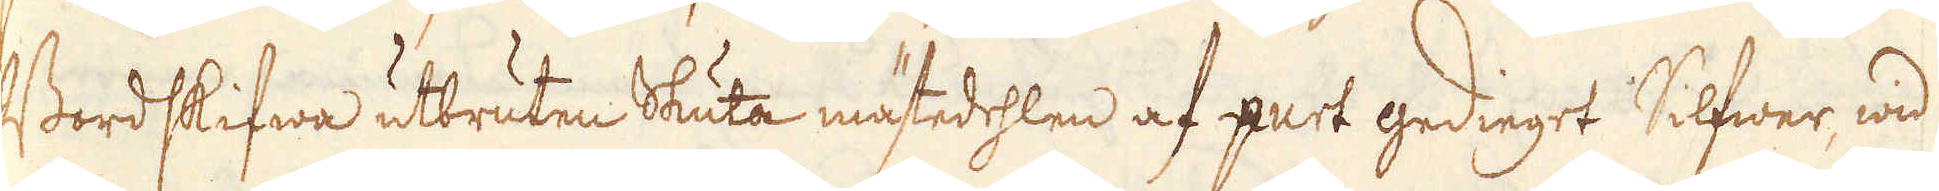Bordskifwa utbruten Skuta mästedehlen af purt gedieget Silfwer wid
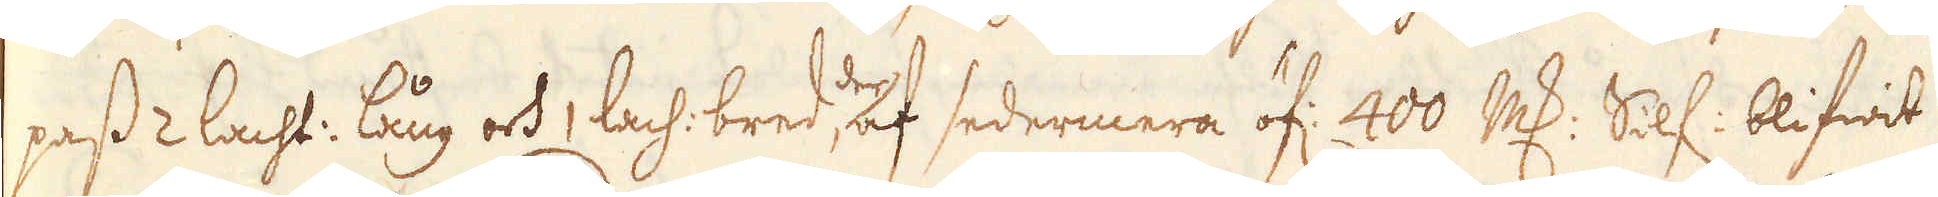pass 2 lacht: lång och 1 lach: bred, deraf sedermera öf: 400 marker Silf: blifwit
